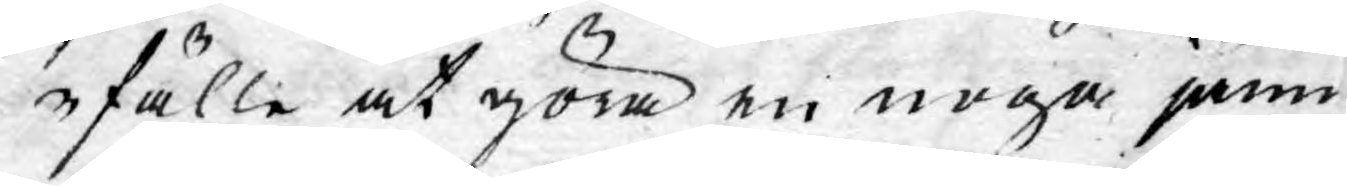fälle at göra en noga jäm¬
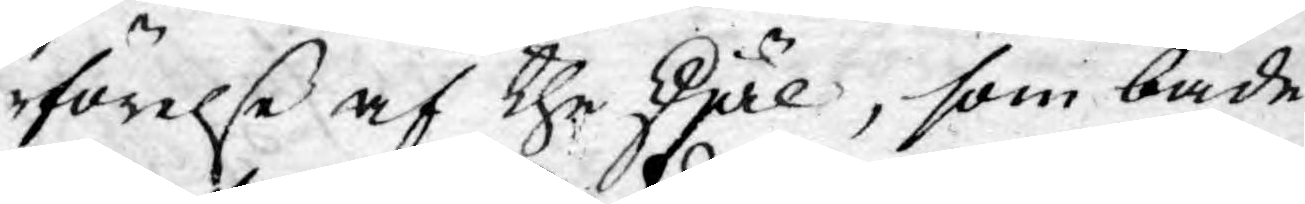förelse af the skjäl, som både
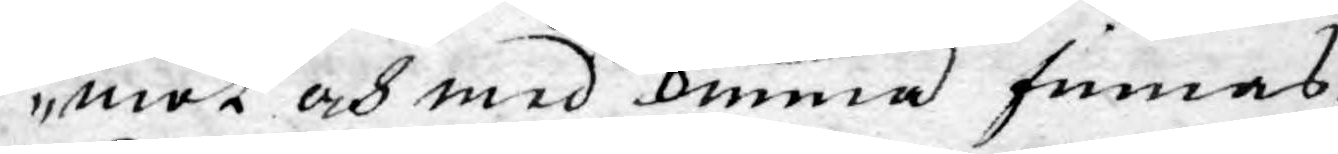mot och med kunna finnas;
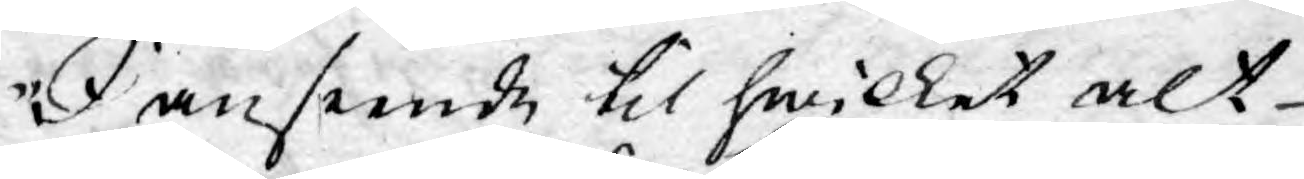I anseende til hwilket alt
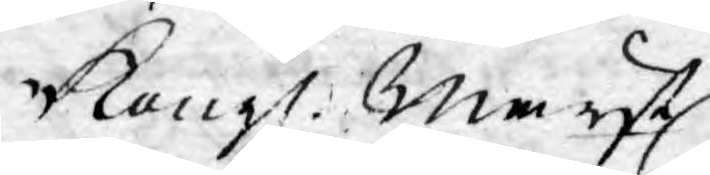Kongl. Mayt
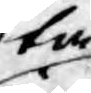tå
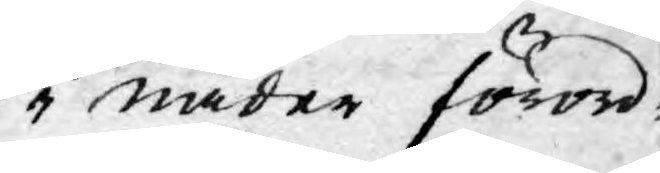i nåder förord¬
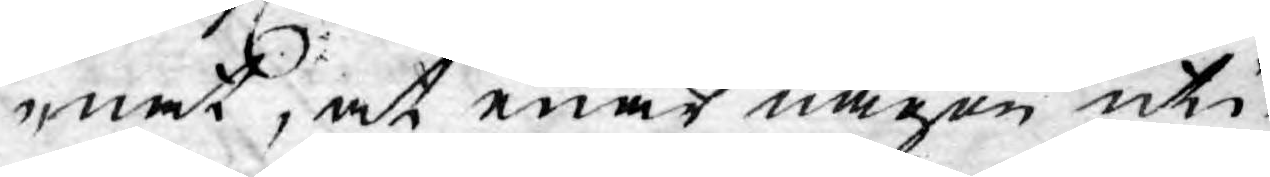nat, at enär någon uti
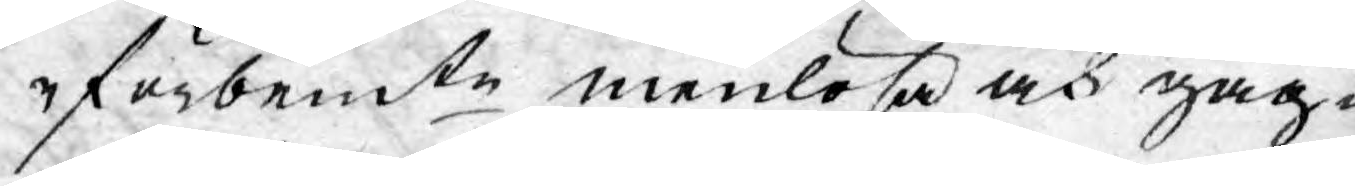förbemte menlösa och gag¬
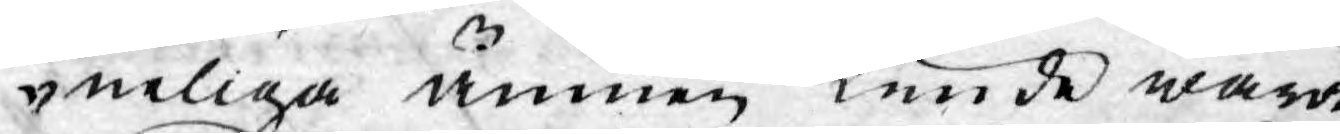neliga ämnen kunde wara
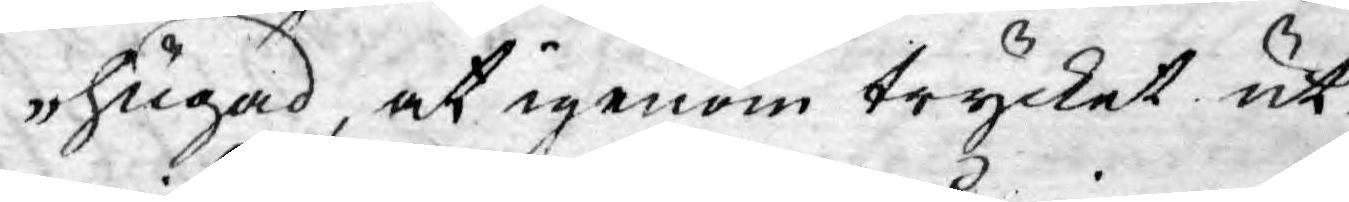hugad, at igenom trycket ut¬
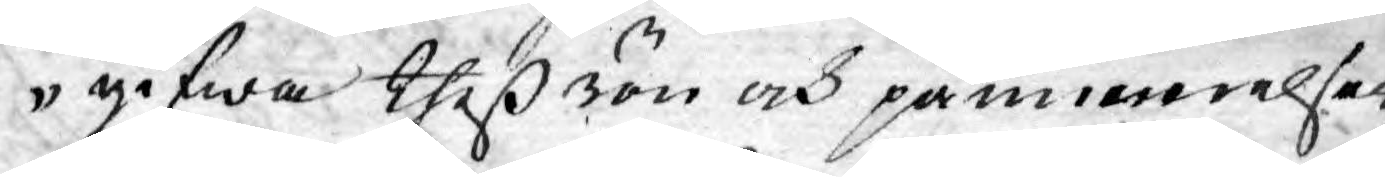gifwa theß rön och påminnelser
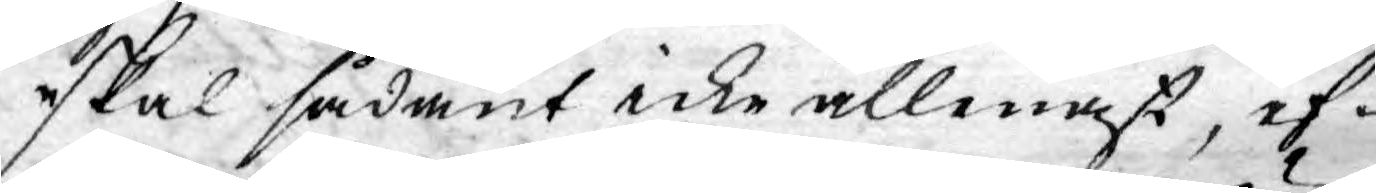skal sådant icke allenast, ef¬
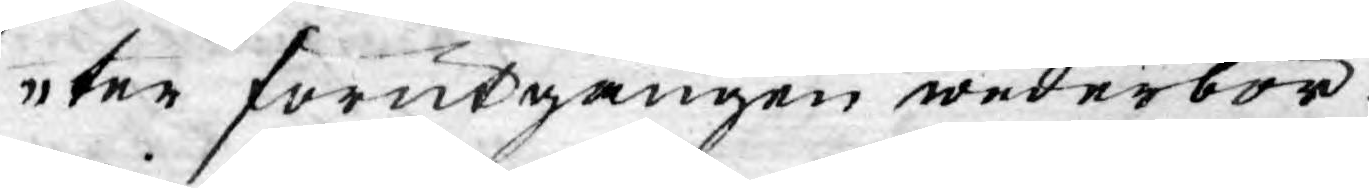ter förutgången wederbör¬
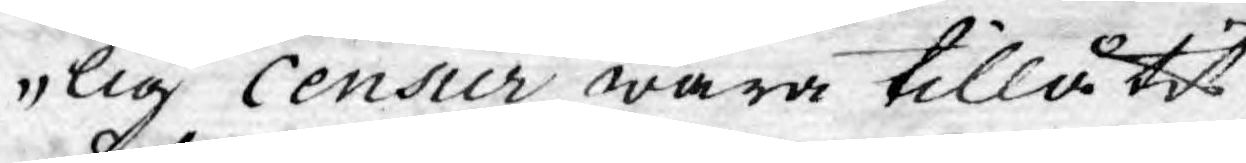lig Censur wara tillåtit,
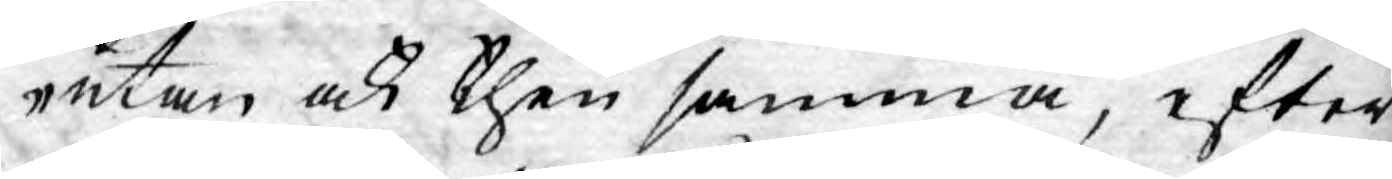utan ock then samma, efter
